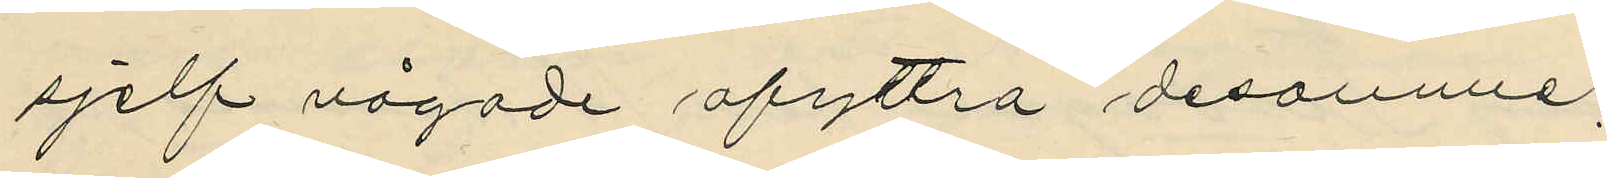sjelf vågade afyttra desamme;
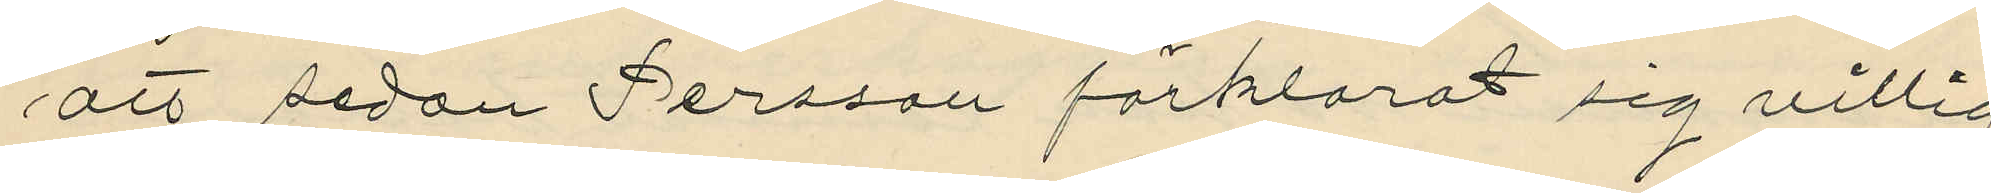att sedan Persson förklarat sig villig
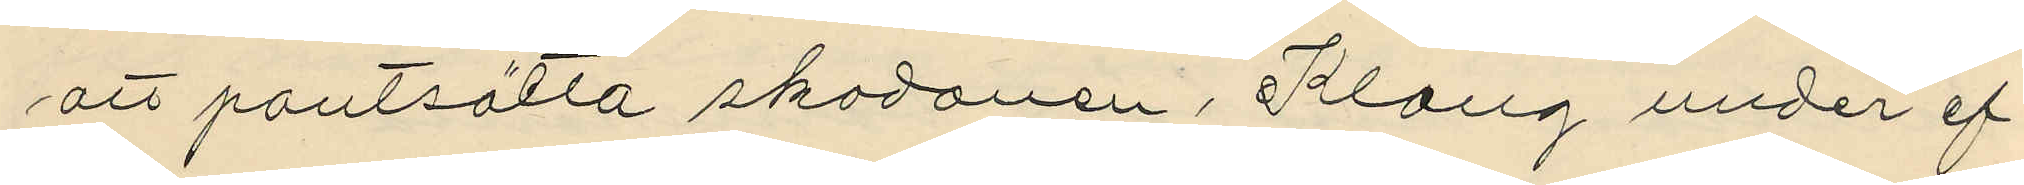att pantsätta skodonen, Klang under ef¬
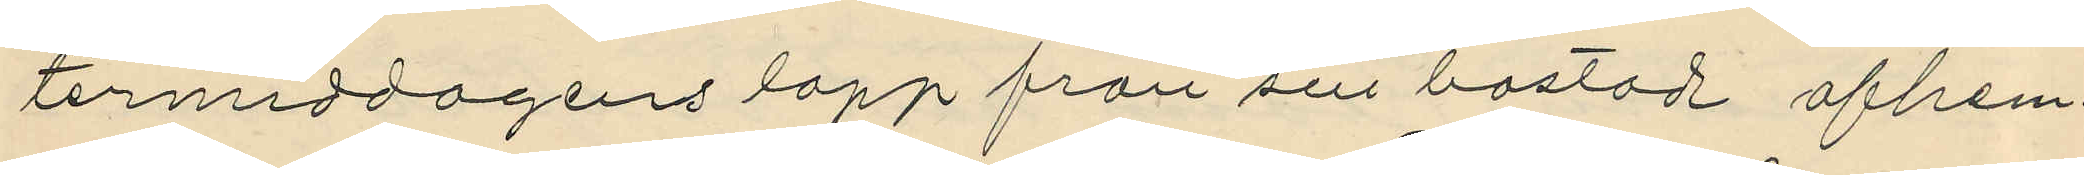termiddagens lopp från sin bostad afhem¬
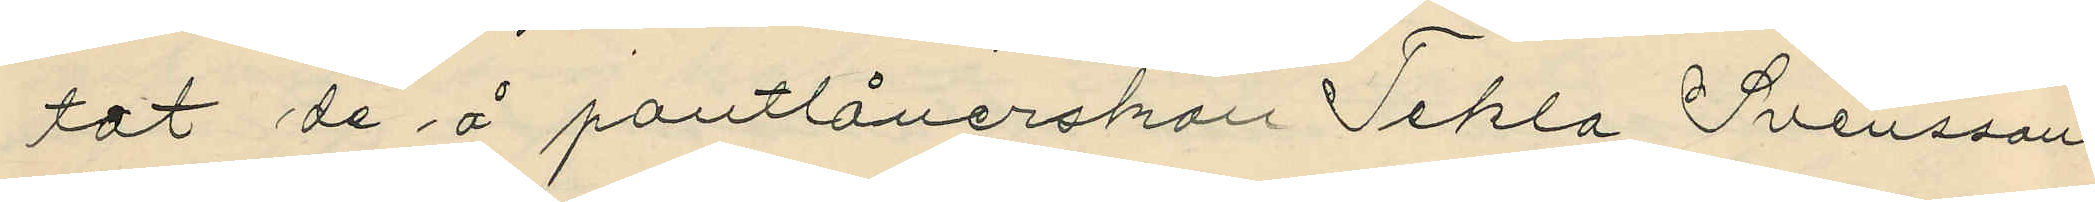tat de å pantlånerskan Tekla Svenssons
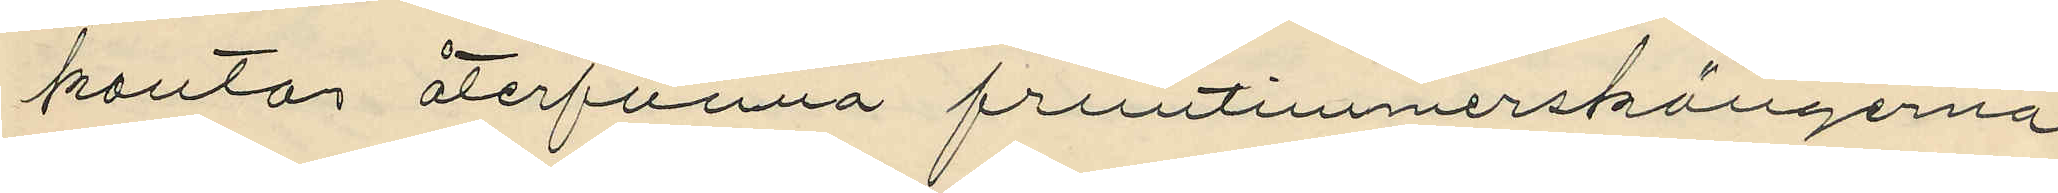kontor återfunna fruntimmerskängerna,
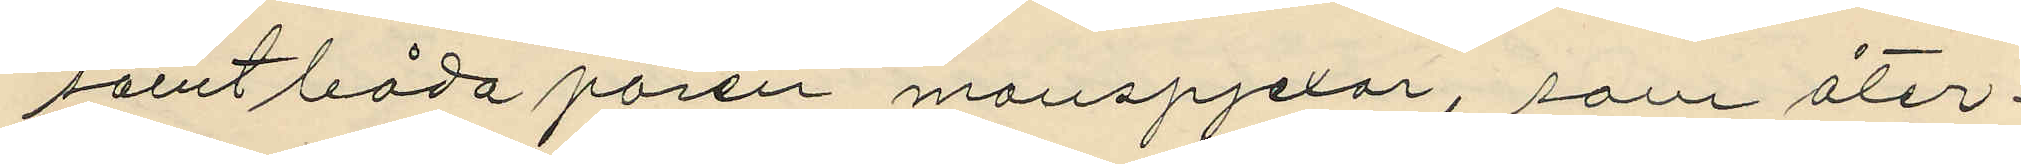samt båda paren manspjexor, som åter¬
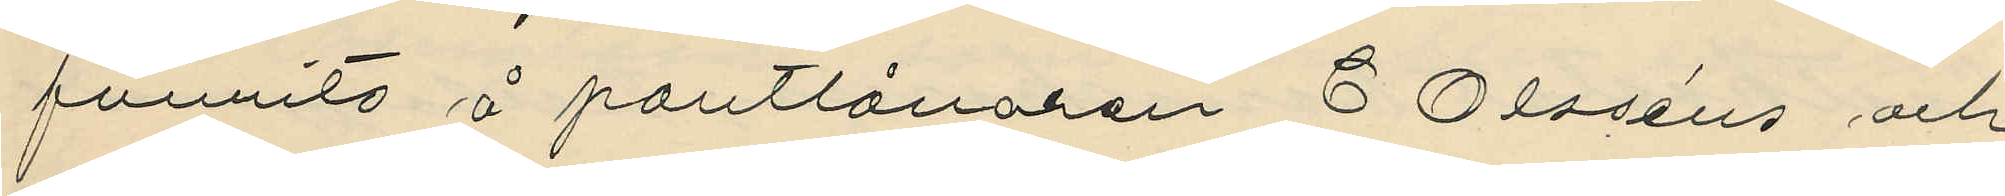funnits å pantlånaren C Olsséns och
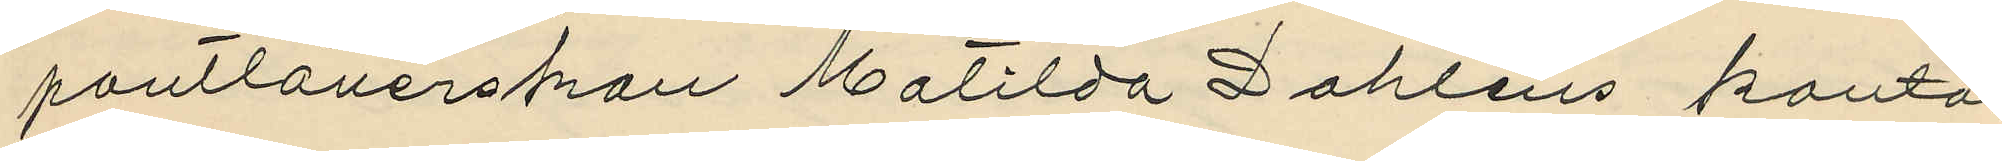pantlånerskan Matilda Dahlins kontor,
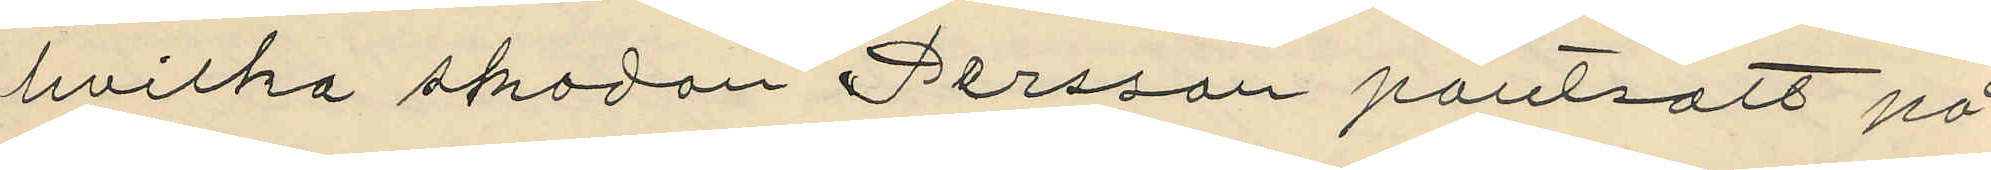hvilka skodon Persson pantsatt på
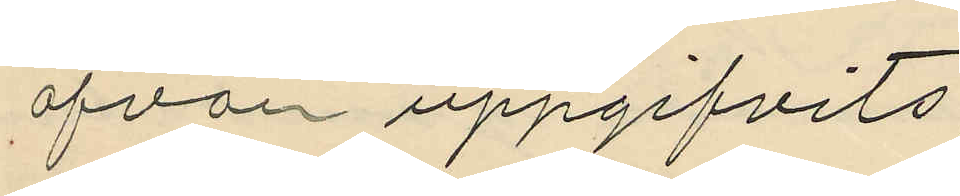ofvan uppgifvits;
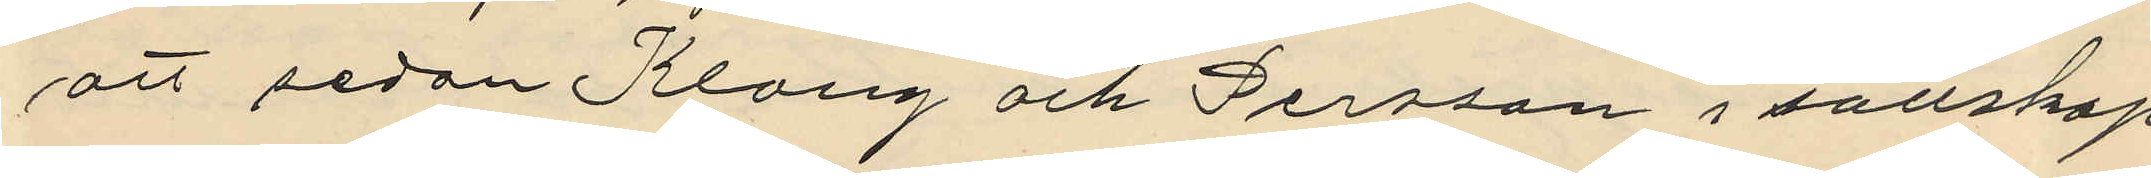att sedan Klang och Persson i sällskap
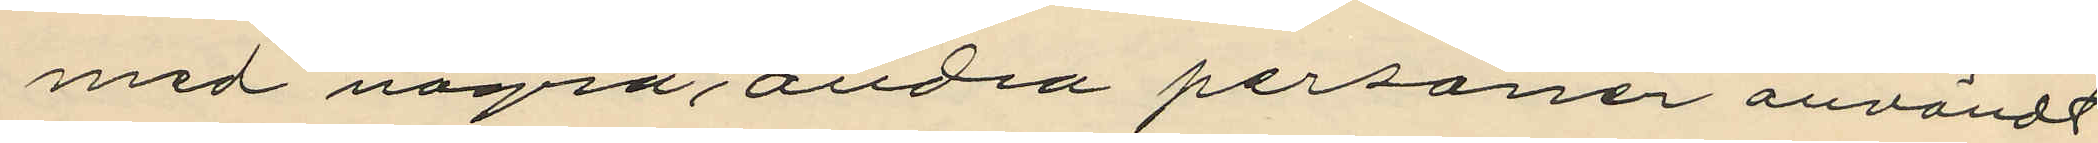med några, andra personer användt
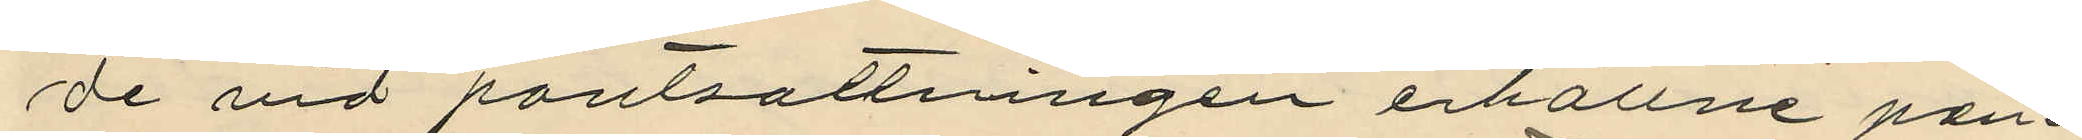de vid pantsattningen erhållne pen¬
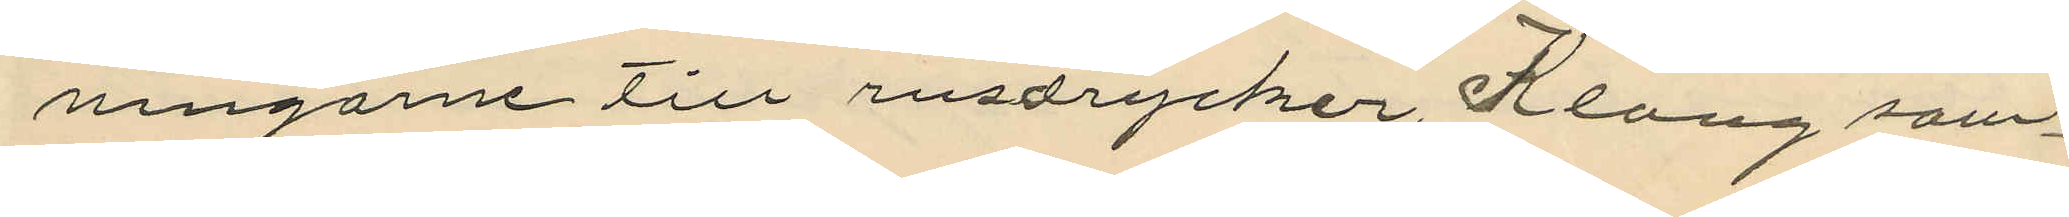ningarne till rusdrycker, Klang sam¬
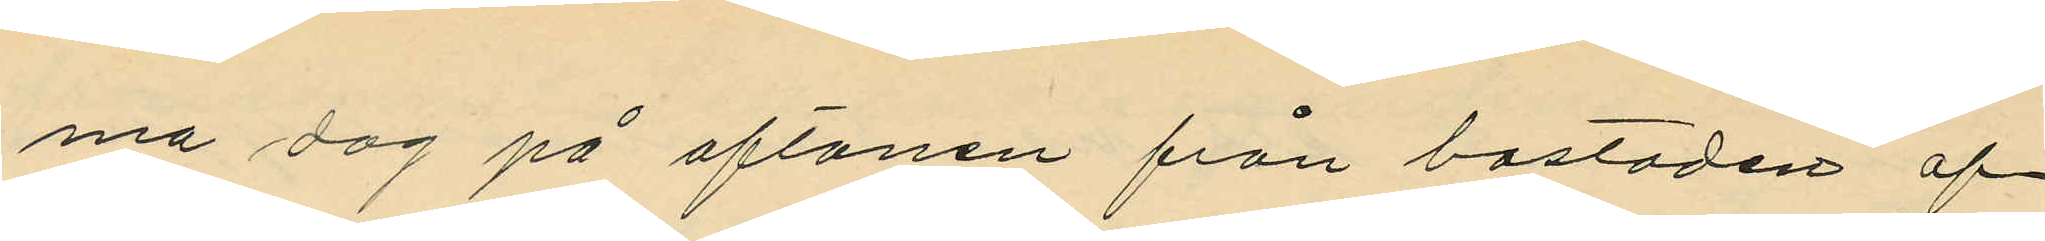ma dag på aftonen från bostaden af¬
